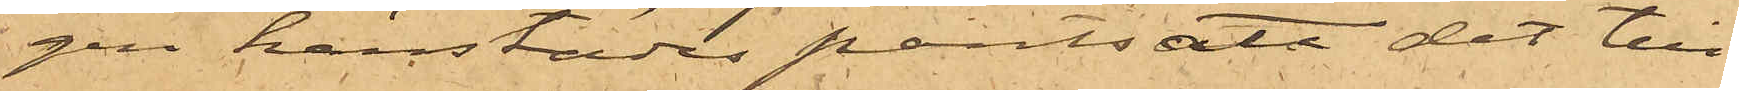gen härstädes pantsatt det till¬
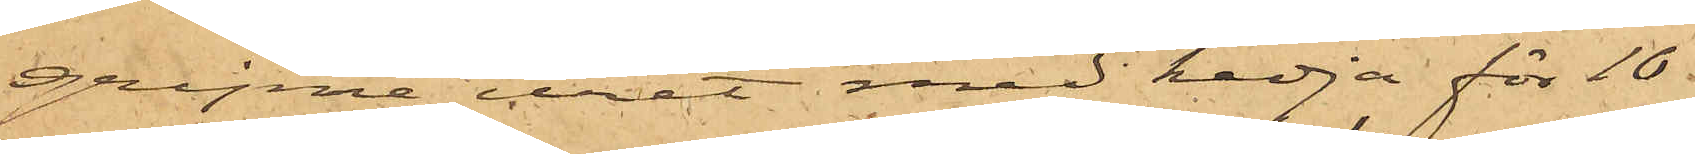gripne uret med kedja för 10
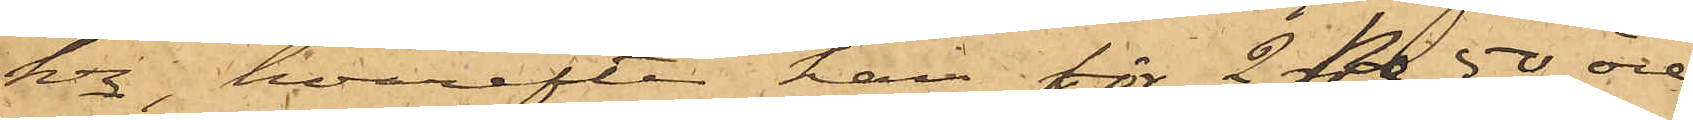Kr, hvarefter han för 2 Kr 50 öre
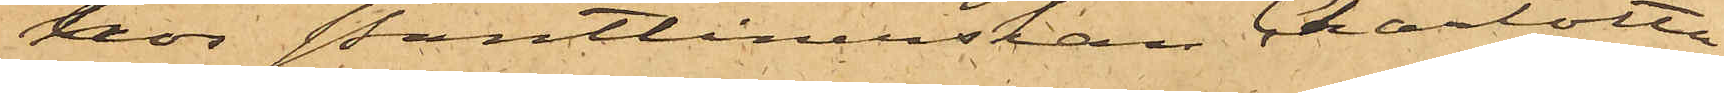hos Pantlånerskan Charlotta
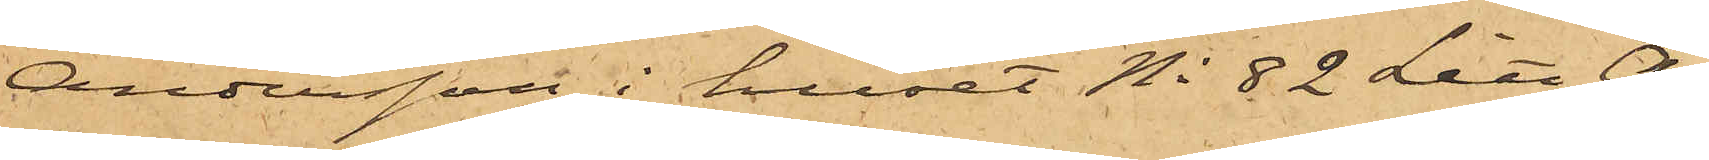Andersson i huset No 82 Litt A
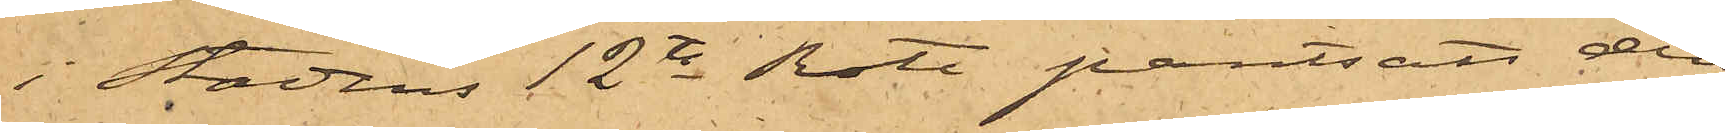i Stadens 12te Rote pantsatt den
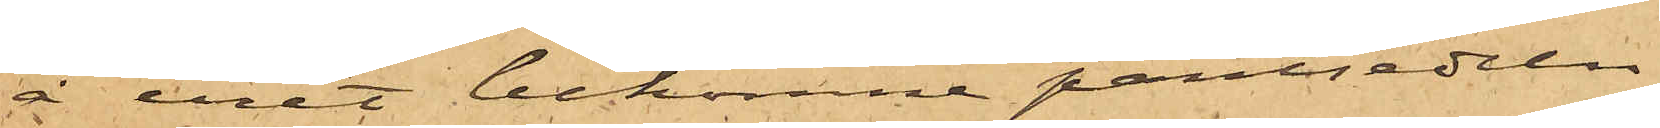å uret bekomne pantsedeln
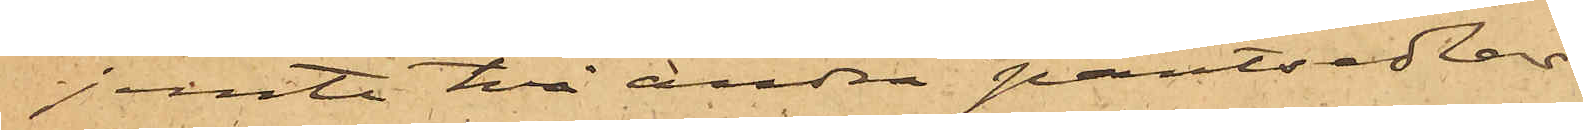jemte två andra pantsedlar.
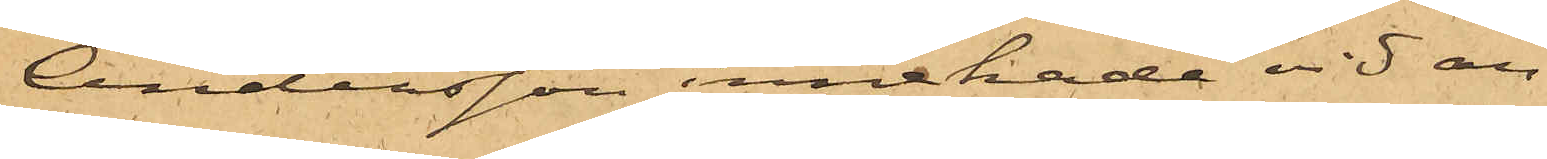Andersson innehade vid an¬
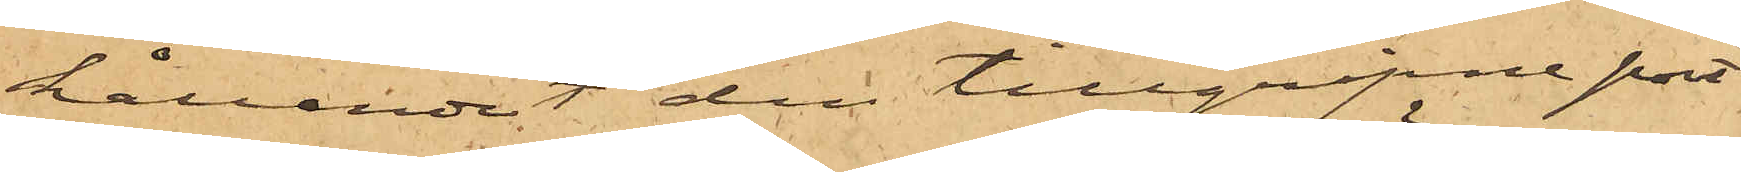hållandet den tillgripne port¬
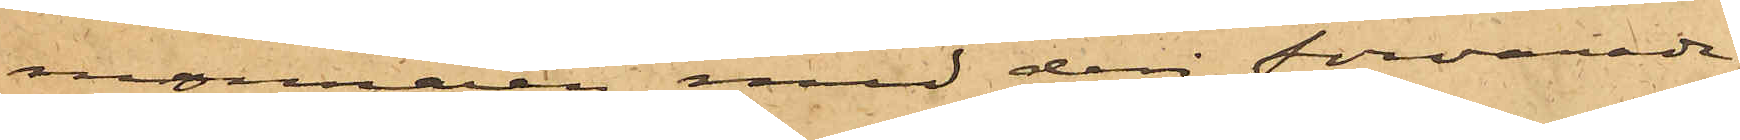monnaien med deri förvarade
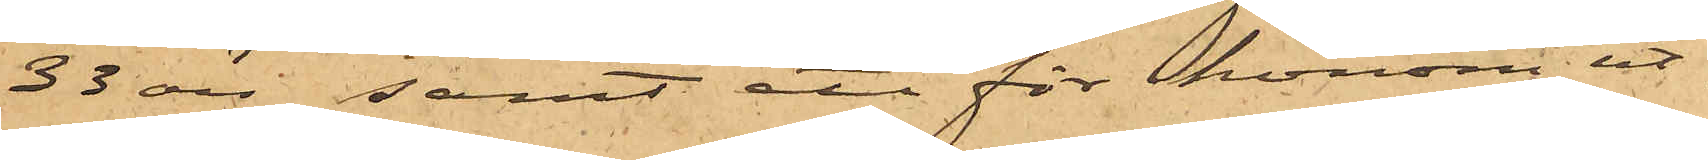33 öre samt ett för honom ut¬
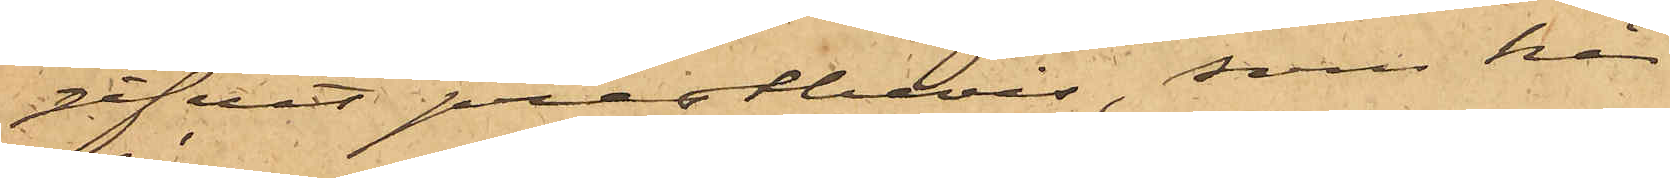gifvet prästbevis, som här
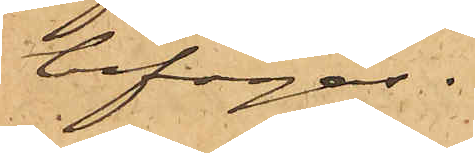bifogas.
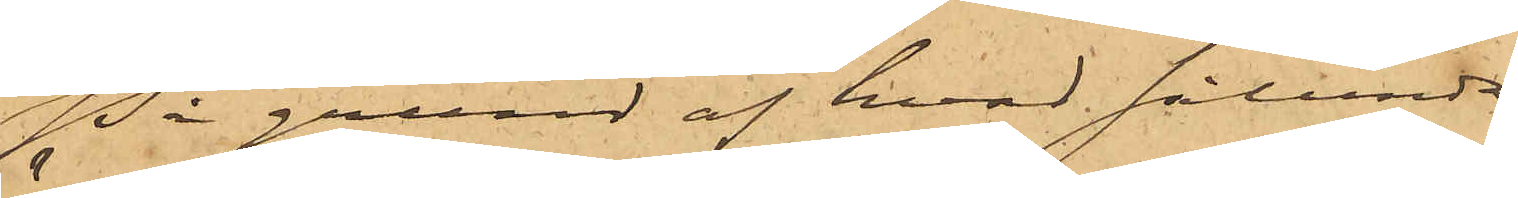På grund af hvad sålunda
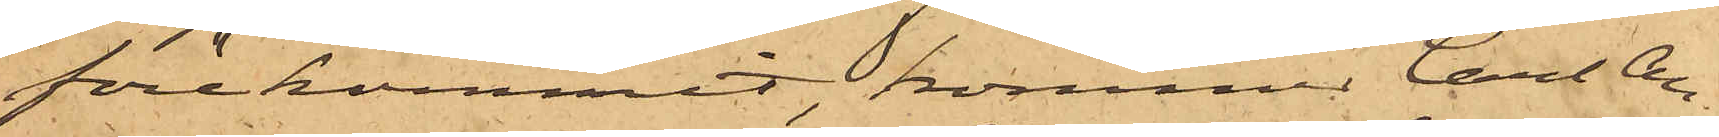förekommit, kommer Carl An¬
